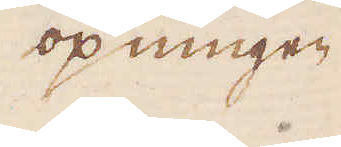öpningen
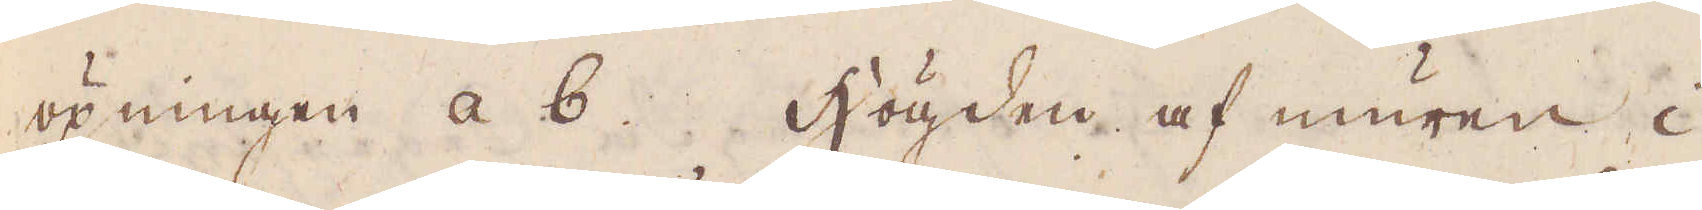öpningen a b. Högden af muren i
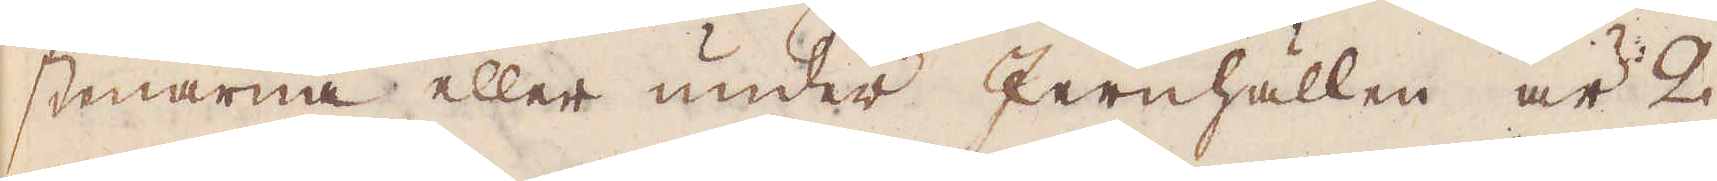stenarna eller under Jernhällen är 2
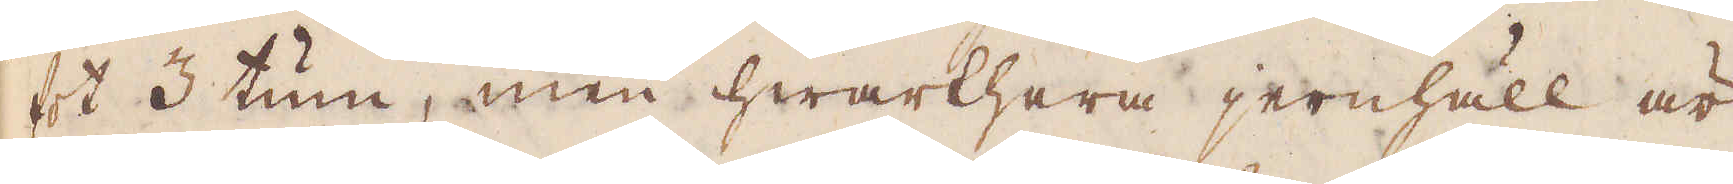fot 3 tum, men hwarthera jernhäll är
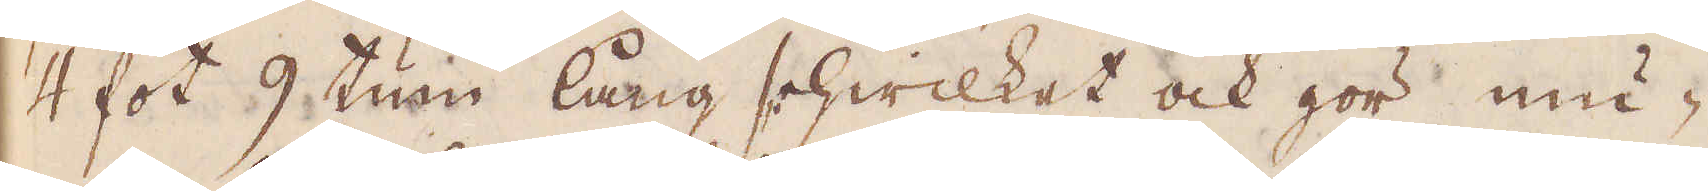4 fot 9 tum lång hwilket ock gör mu-
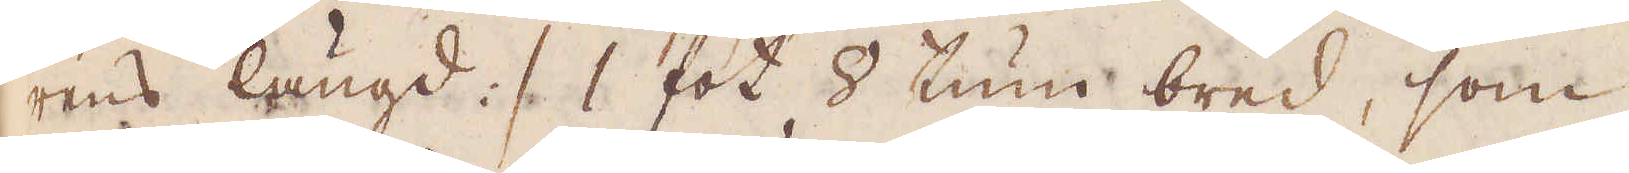rens längd :/ 1 fot 2 tum bred, som
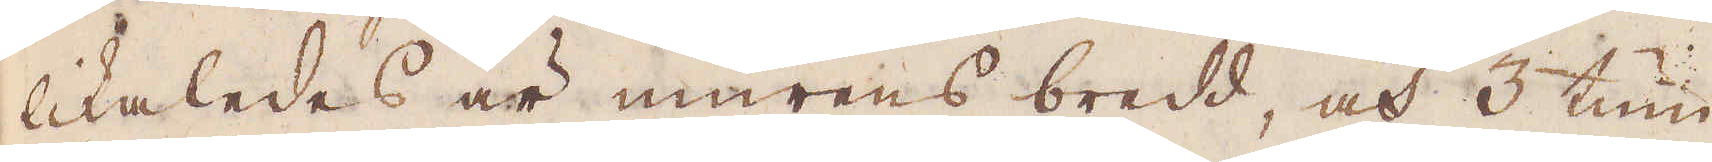likaledes är murens bredd, och 3 tum
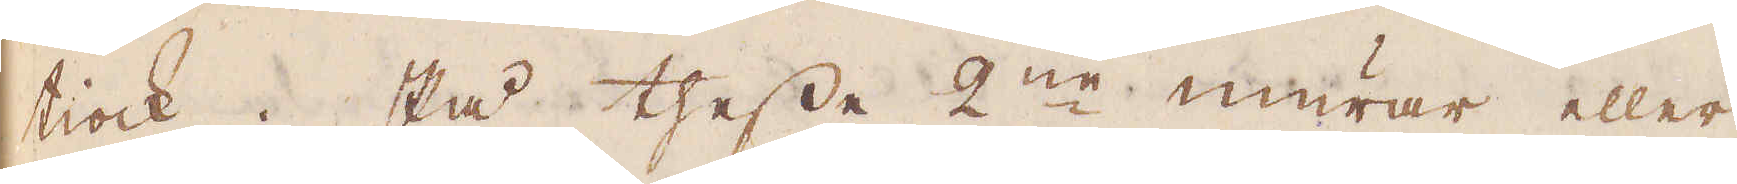tiock. På thesse 2:ne murar eller
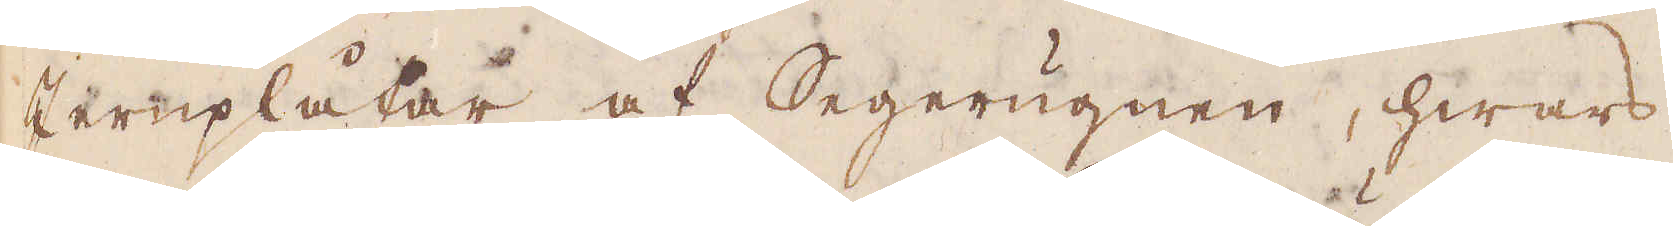Jernplåtar af Segerugnen, hwars
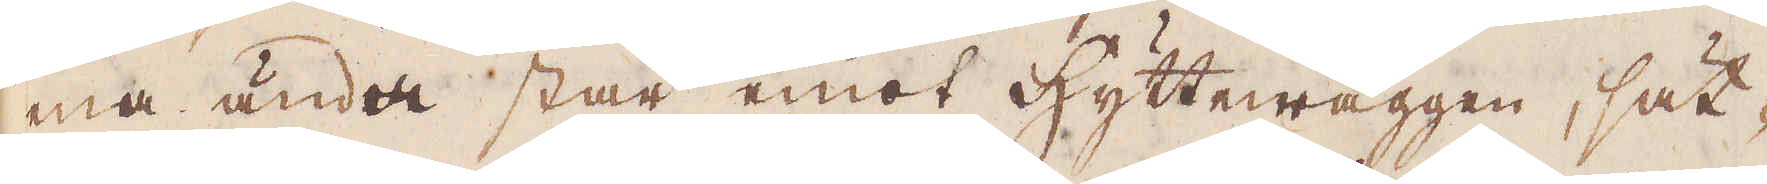ena ända står emot hyttewäggen, sät-
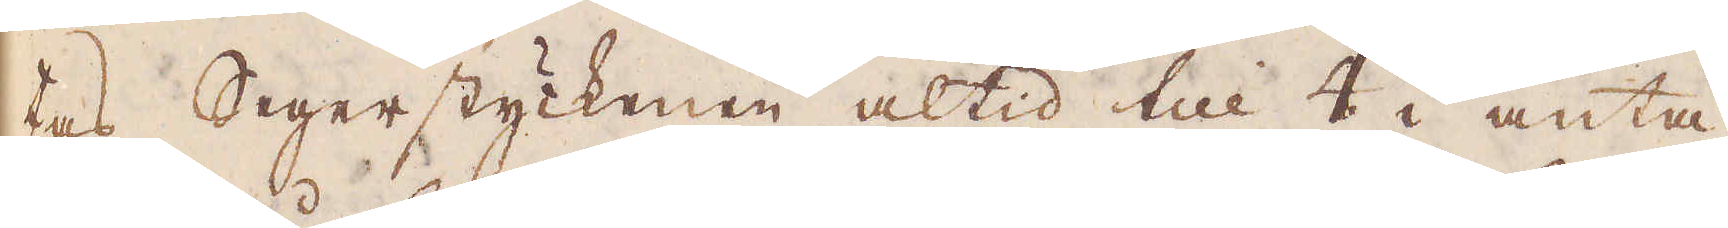tas Segerstyckenen altid till 4 i anta-
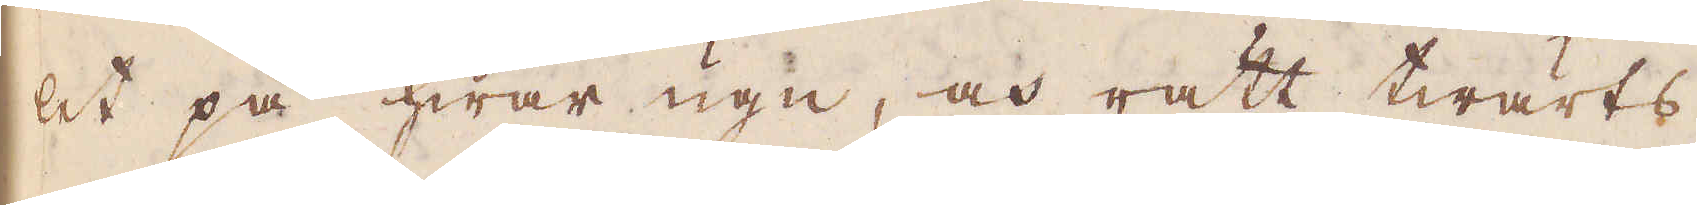let på hwar ugn, och rätt twärts
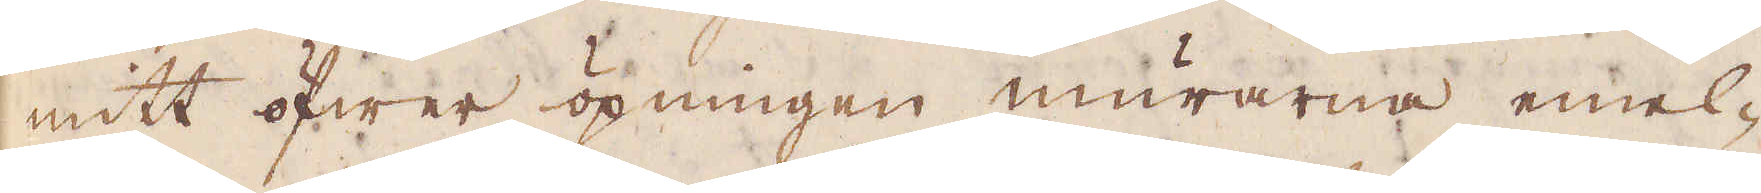mitt öfwer öpningen murarna emel-
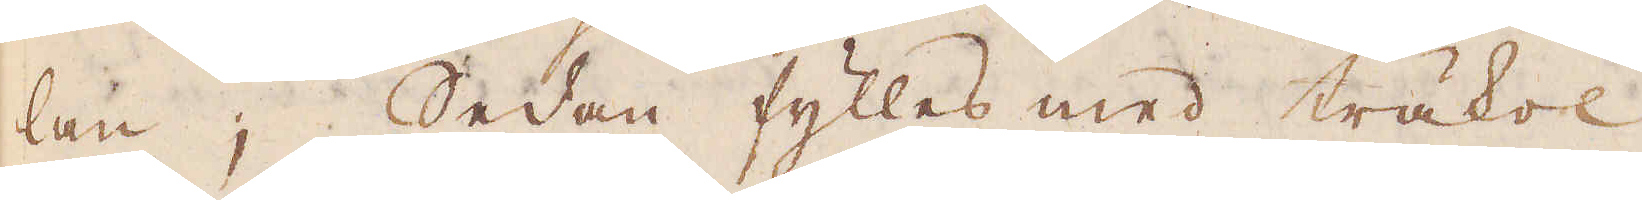lan; Sedan fylles med träkol
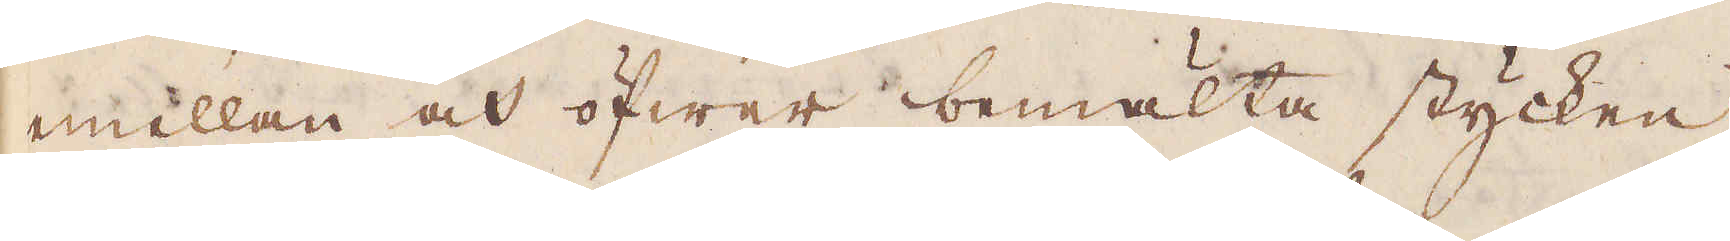mellan och öfwer bemälta stycken,
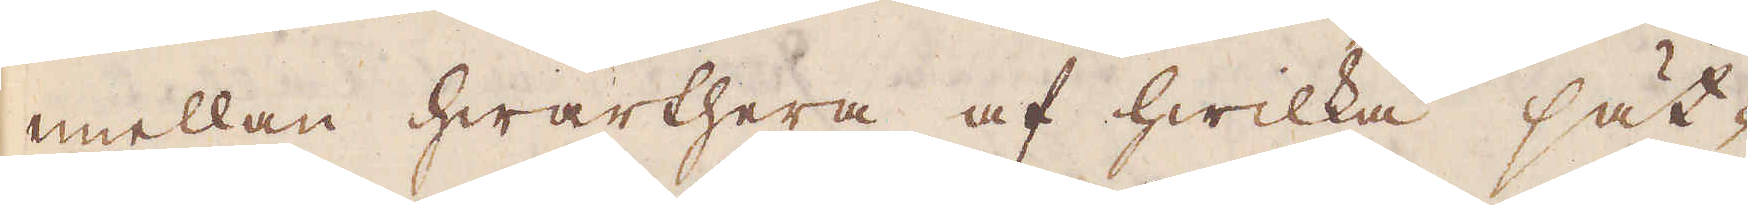mellan hwarthera af hwilka sät-
